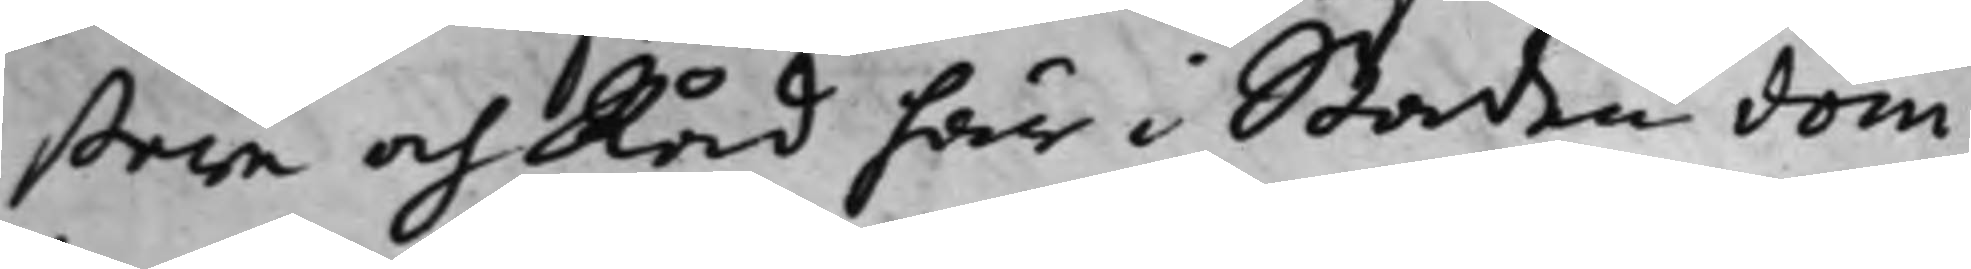stare och Råd här i Staden döm¬
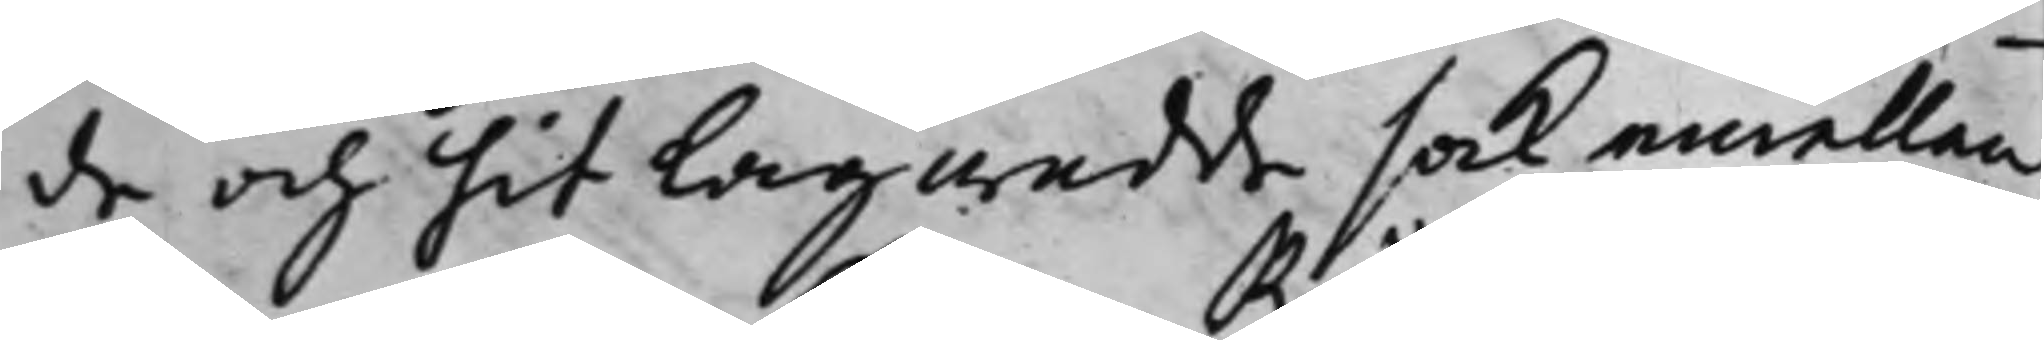de och hit Lagwadde sak emellan
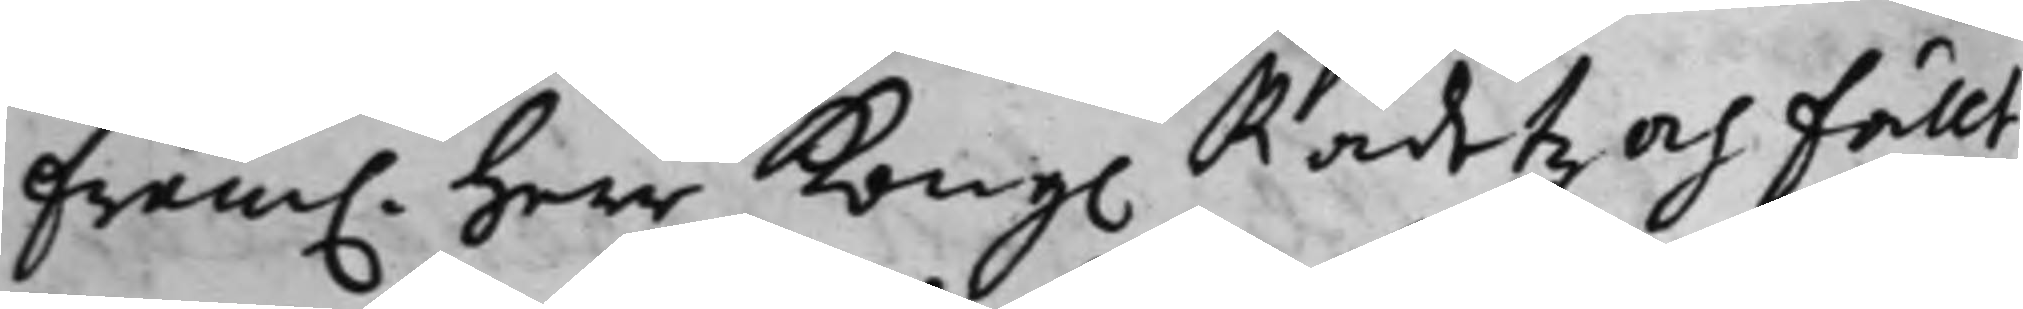fram. Herr Kong. Rådetz och Fällt¬
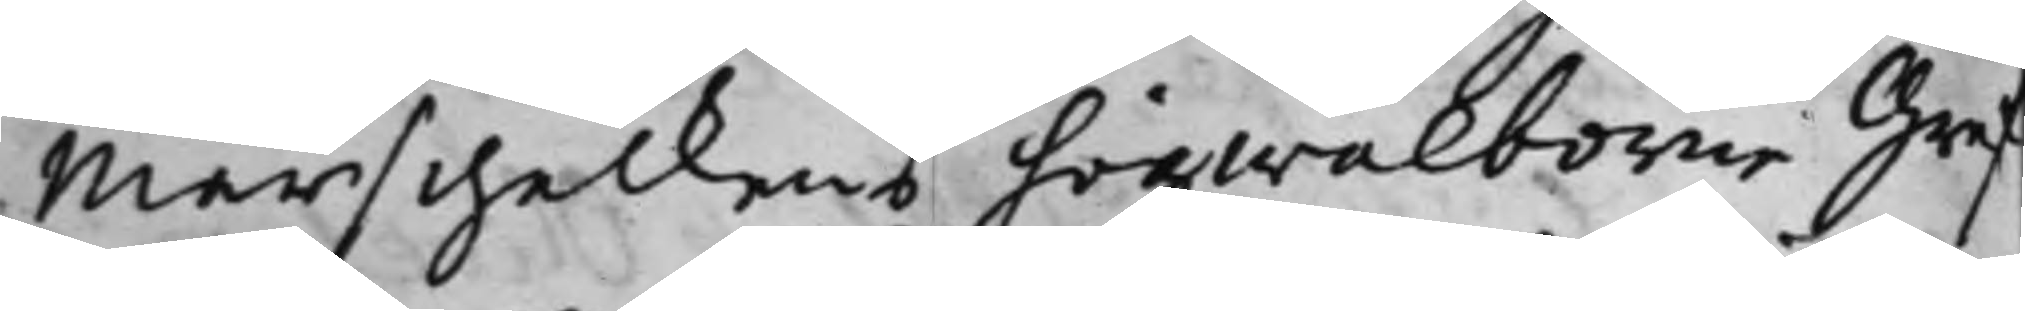Marschalkens högwälborne Gref¬
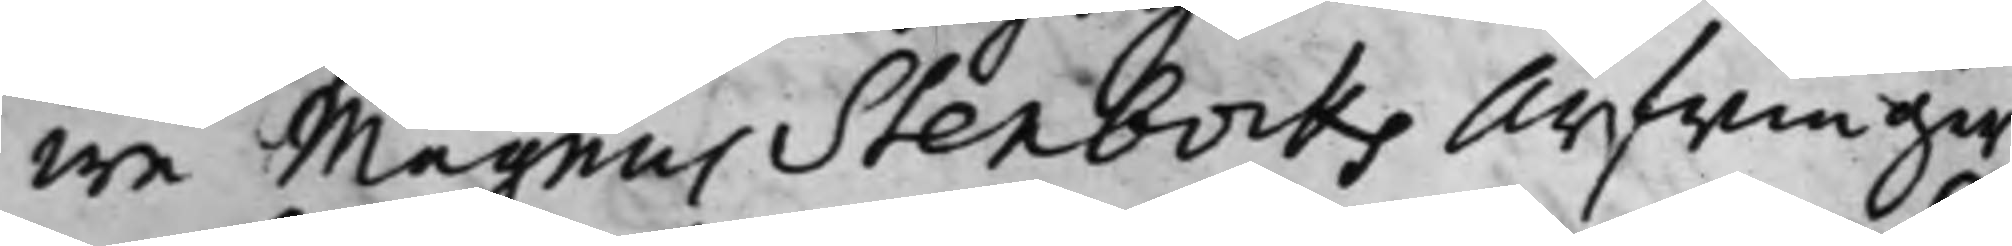we Magnus Stenbocks Arfwingar
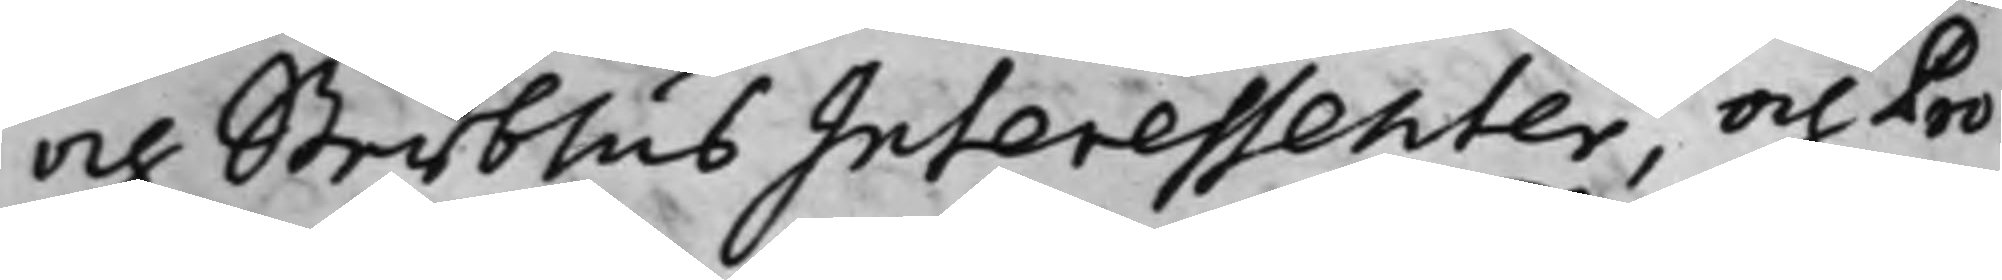och SterbhusInteressenter, och Pro¬
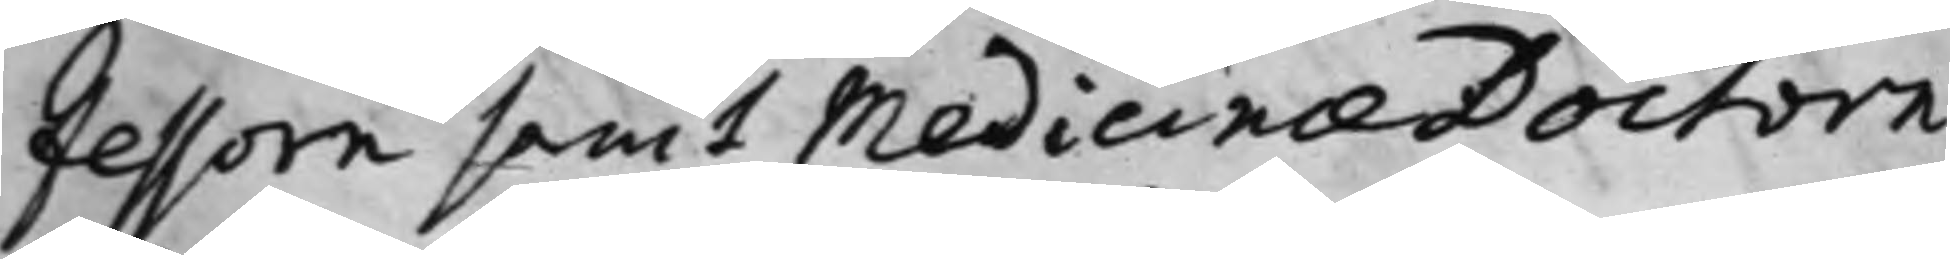fessorn samt Medicinæ Doctorn
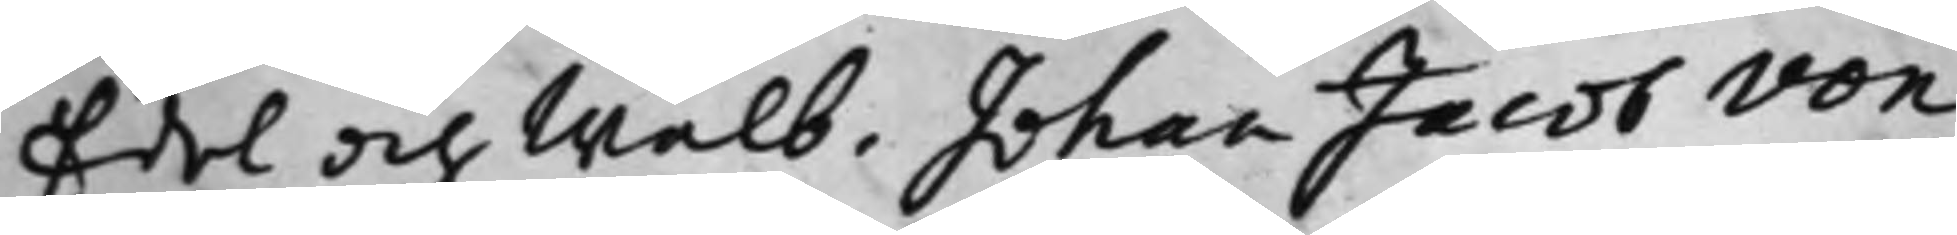Edel och Wälb: Johan Jacob von
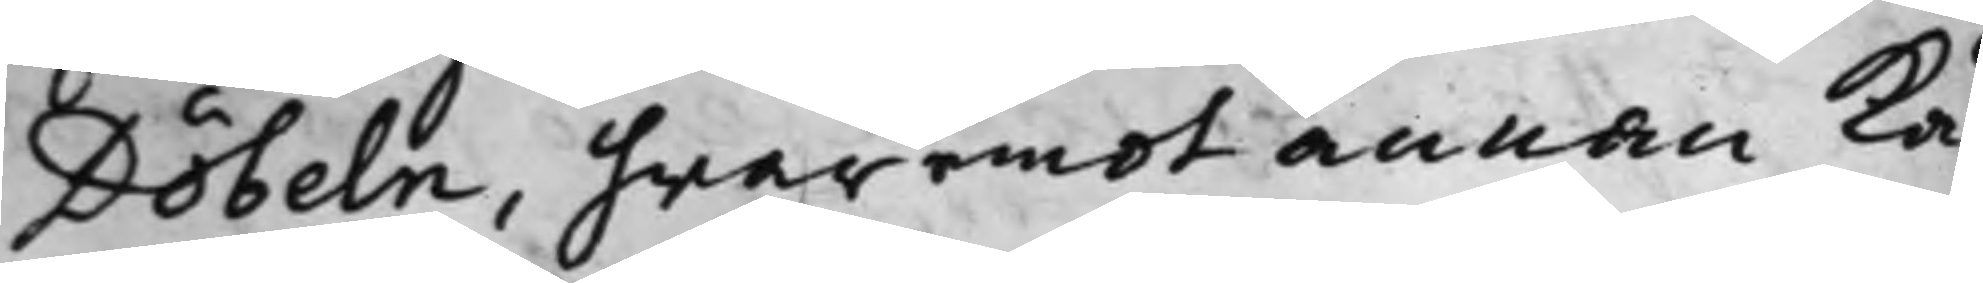Döbeln, hwaremot annan Kä¬
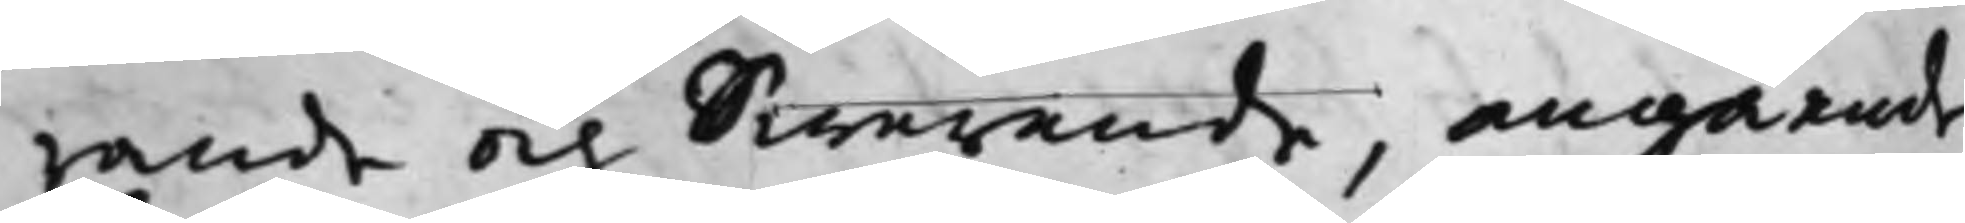rande och Swarande, angående
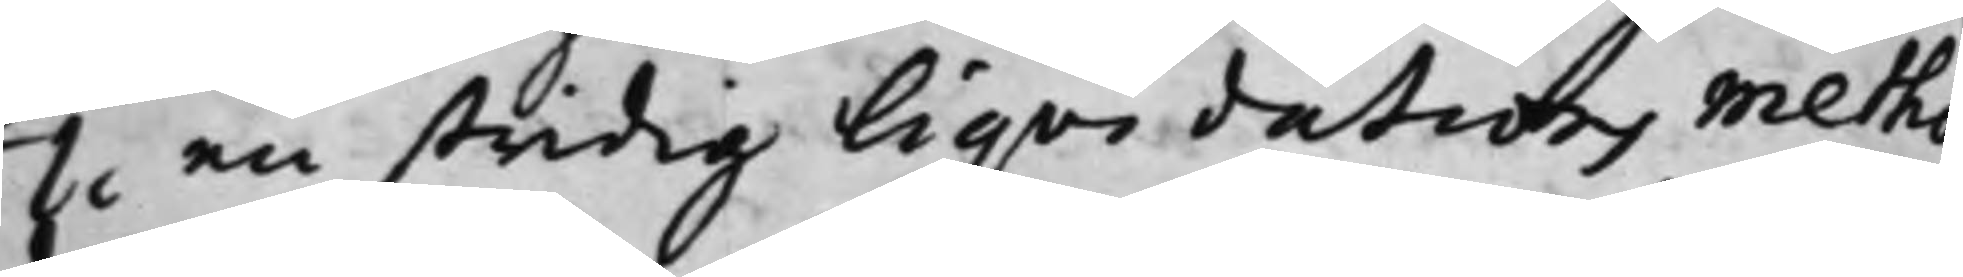1o en stridig Liqvidations metho¬
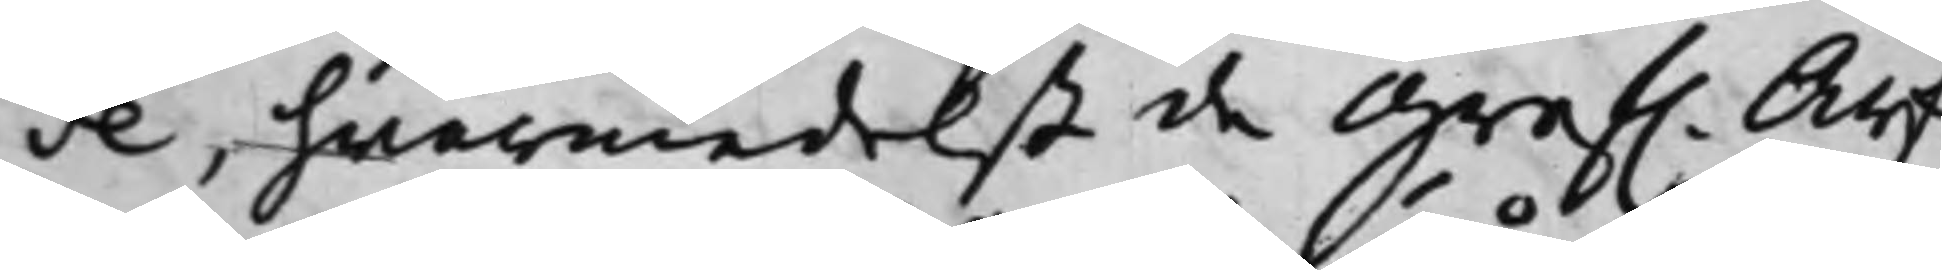de, hwarmedelst de Gref. Arf¬
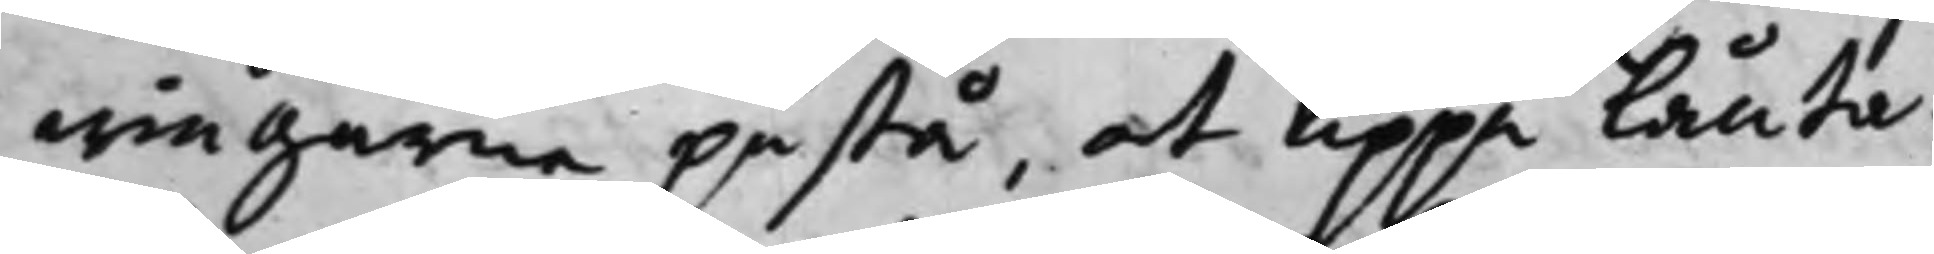wingarne påstå, at uppå lånta¬
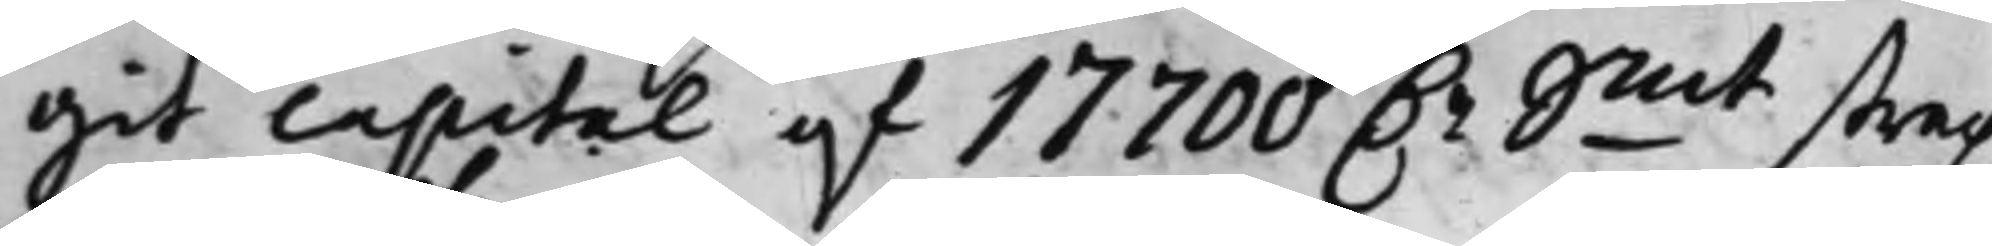git capital af 17700 D.r Smt strax
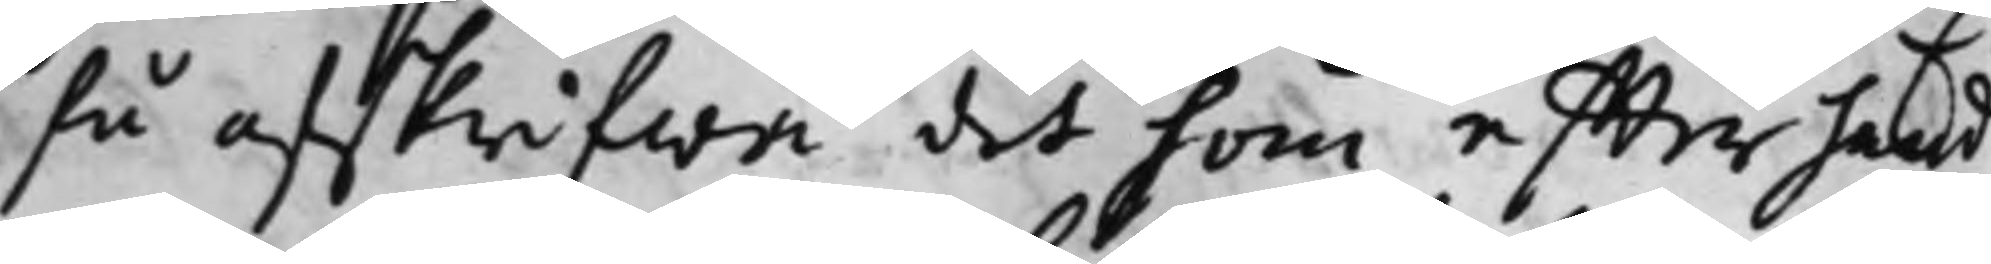få afskrifwa det som effter hand
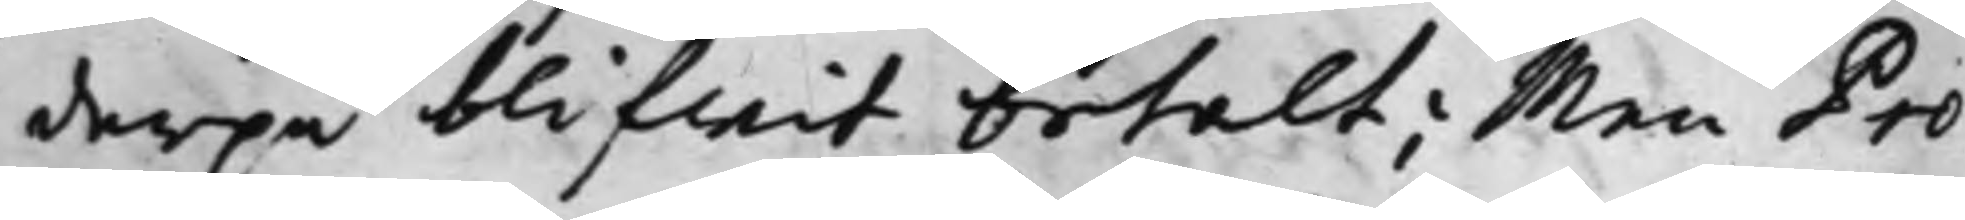derpå blifwit betalt; Men Pro¬
